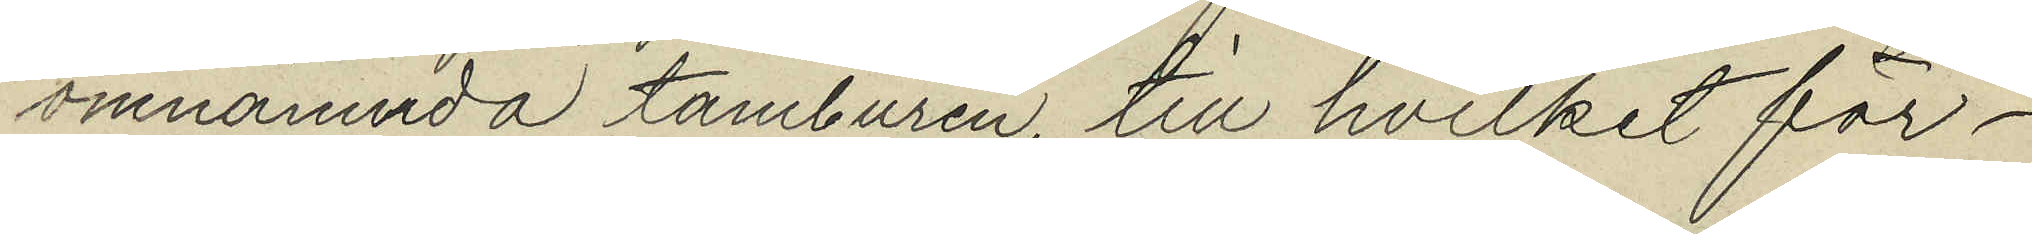omnämnda tamburen, till hvilket för¬
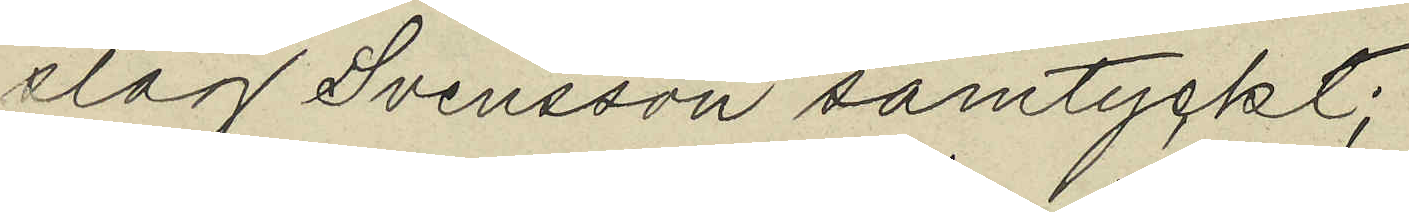slag Svensson samtyckt;
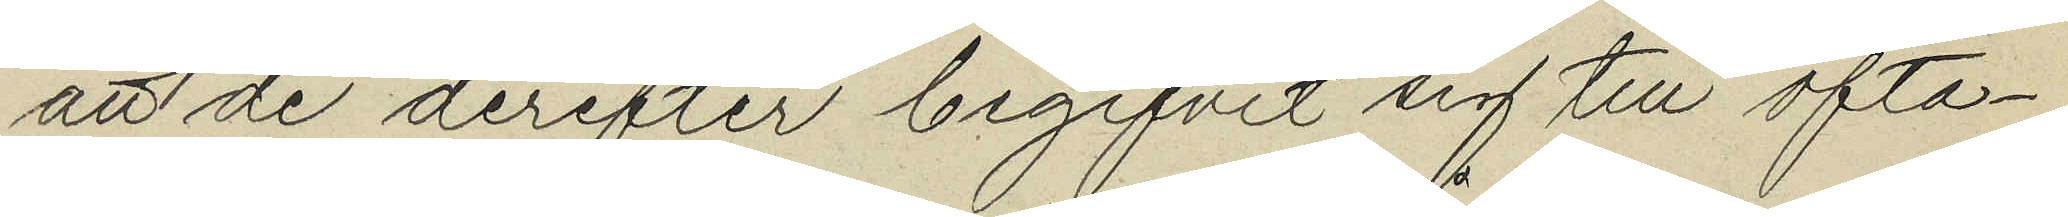att de derefter begifvit sig till ofta¬
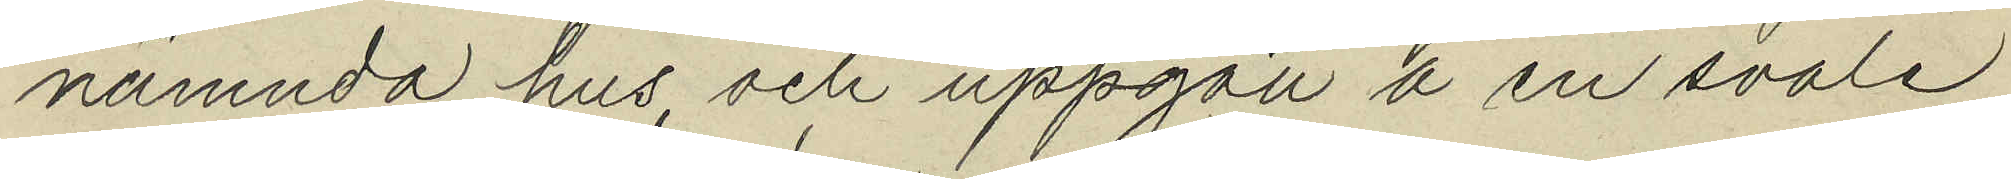nämnda hus och uppgått å en svale
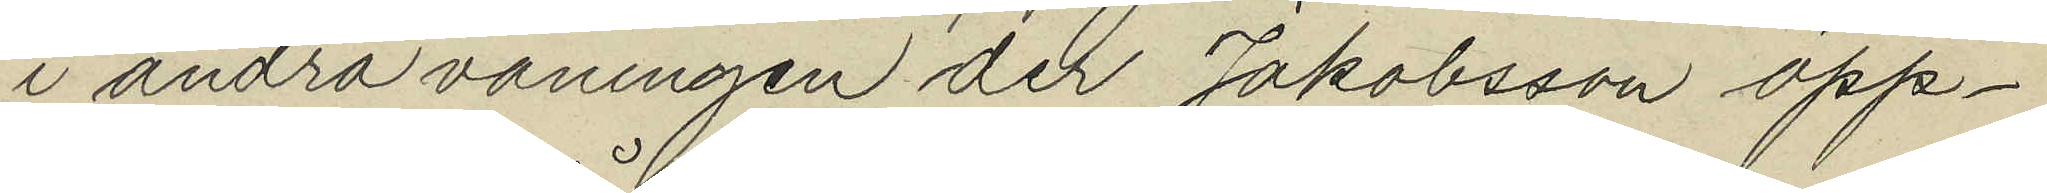i andra våningen der Jakobsson öpp¬
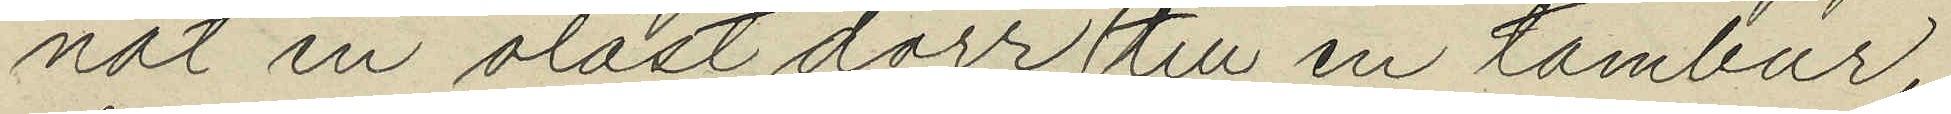nat en olåst dörr till en tambur
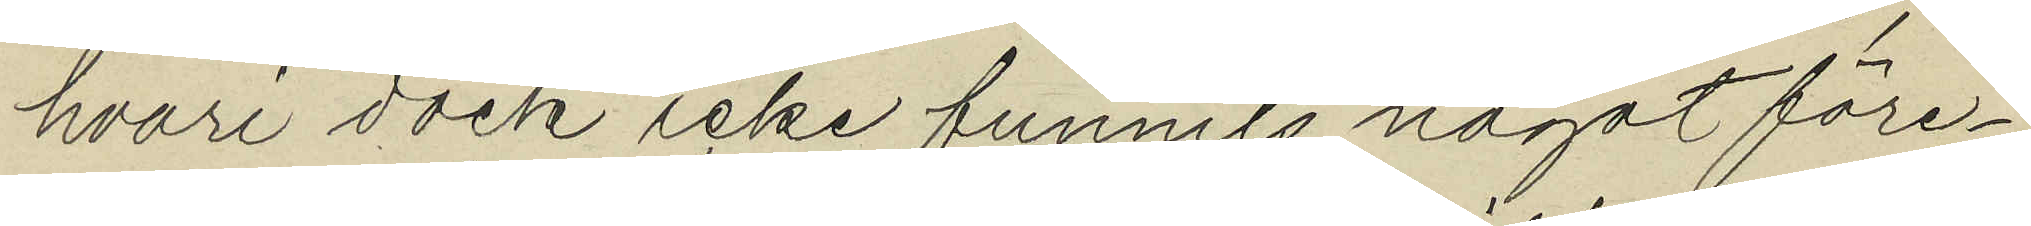hvari dock icke funnits något före¬
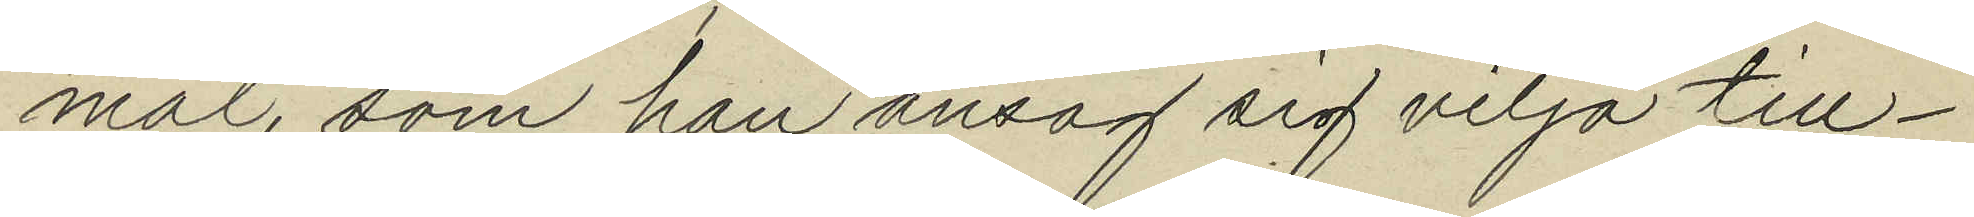mål, som han ansag sig vilja till¬
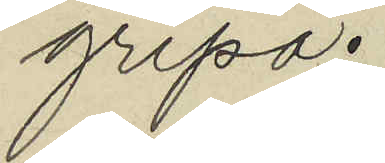gripa.
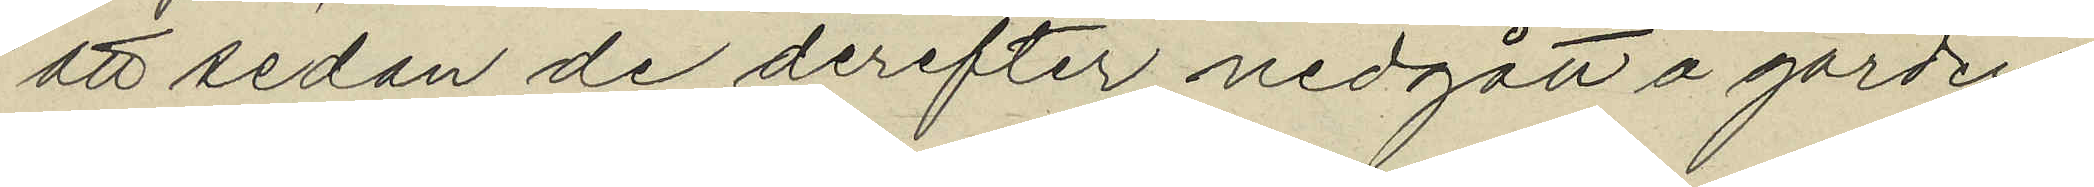att sedan de derefter nedgått å gården
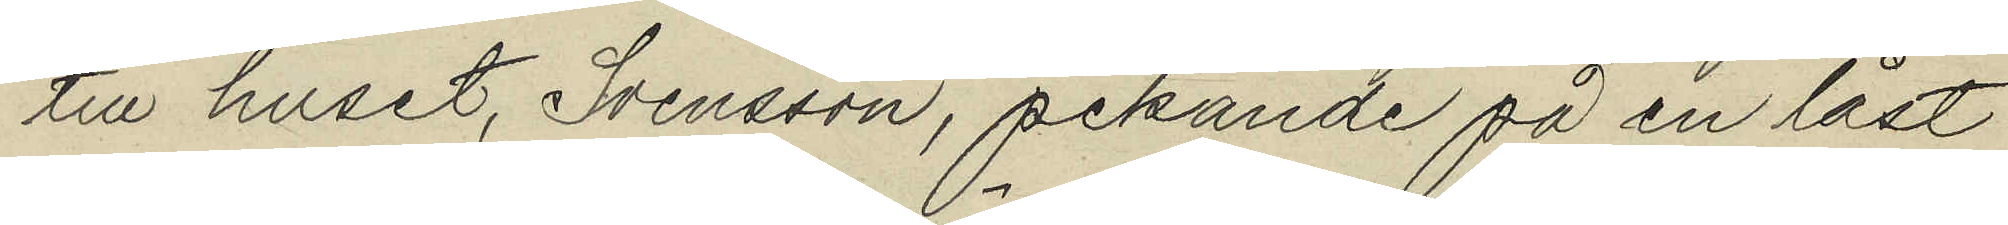till huset Svensson, pekande på en låst
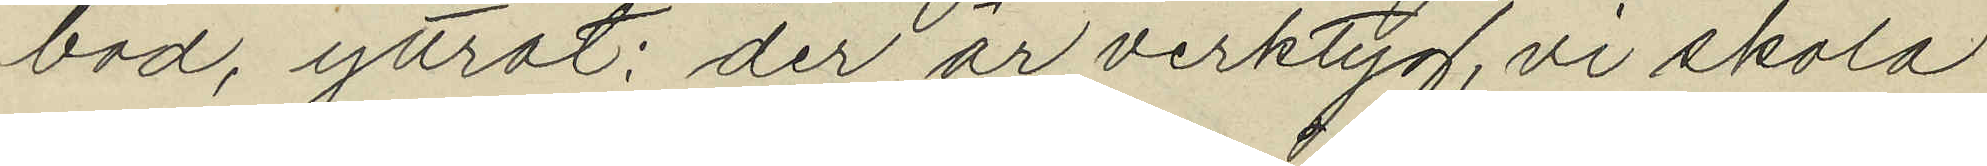bod, yttrat: "der är verktyg, vi skola
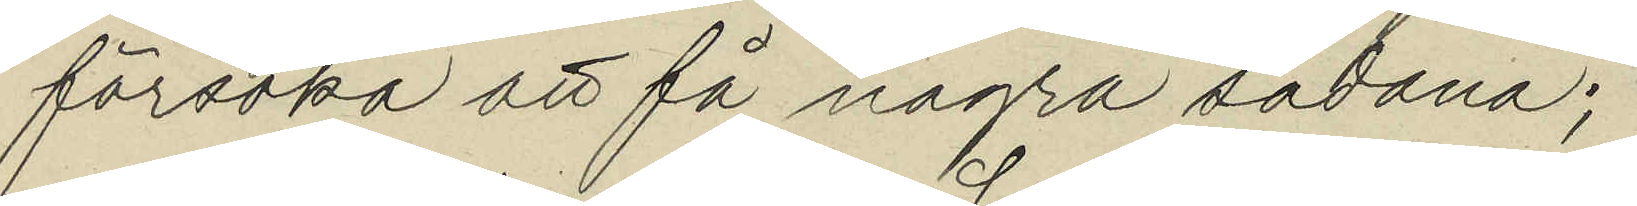försöka att få några sådana";
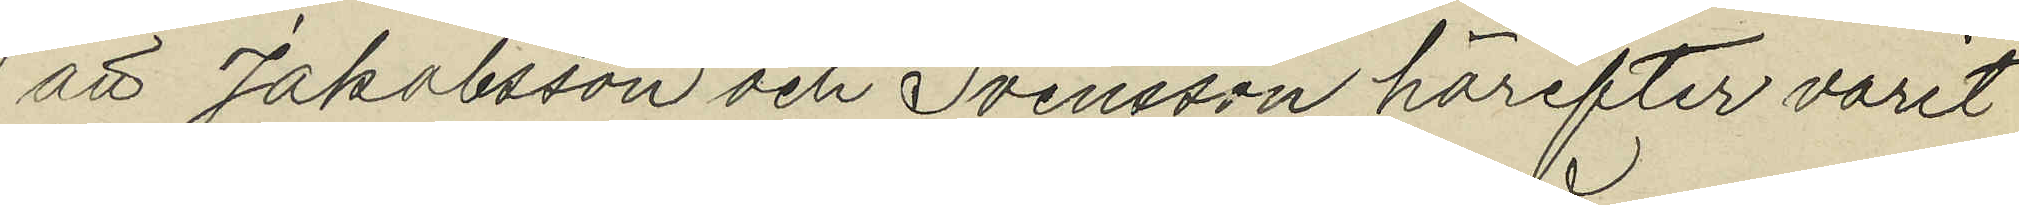att Jakobsson och Svensson härefter varit
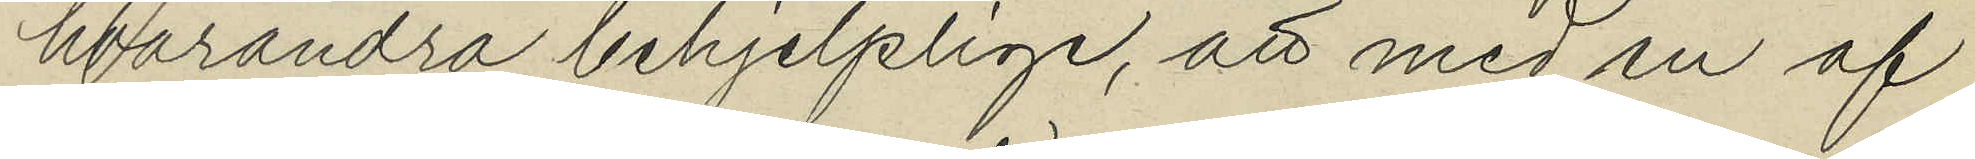hvarandra behjelplige, att med en af
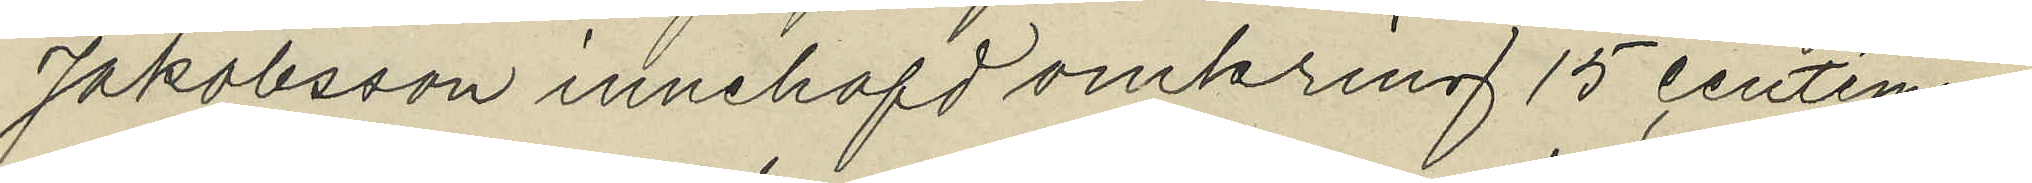Jakobsson innehafd omkring 15 centime¬
